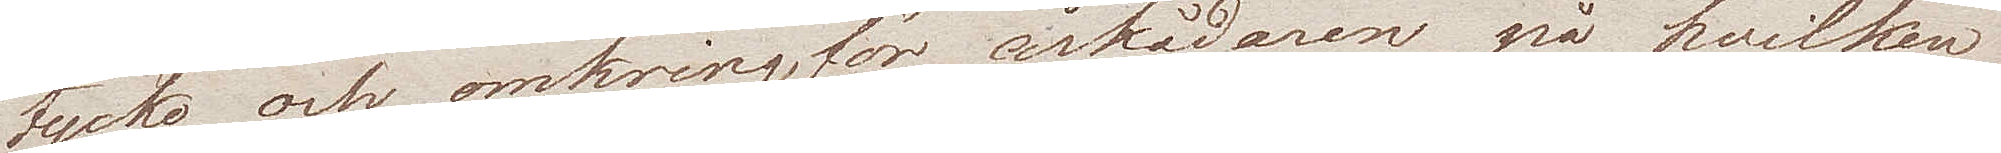tycke och omkringför åskådaren på hvilken
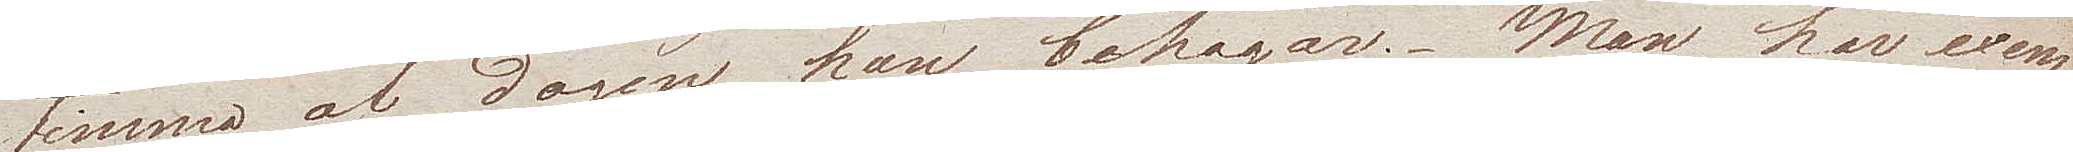timma af dagen han behagar. Man har exem¬
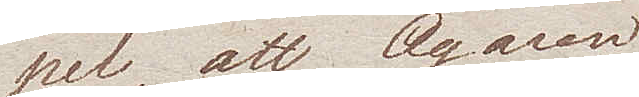pel, att Ägaren
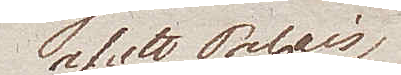af ett Palais
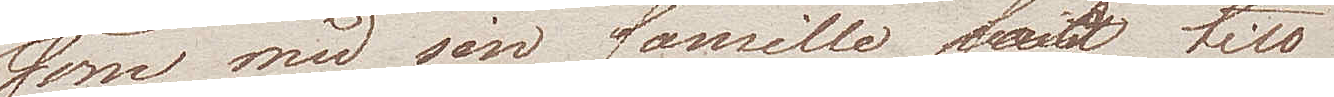som med sin famille satt till
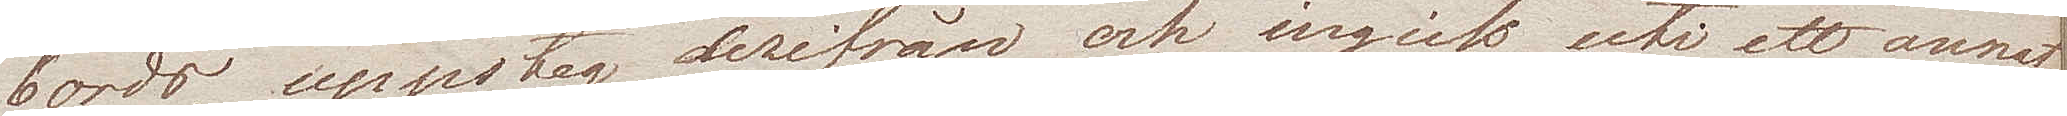bords, uppsteg derifrån och ingick uti ett annat
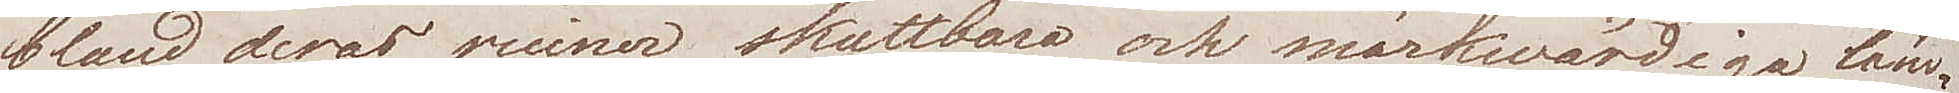bland deras ruiner, skattbara och märkwärdiga läm¬
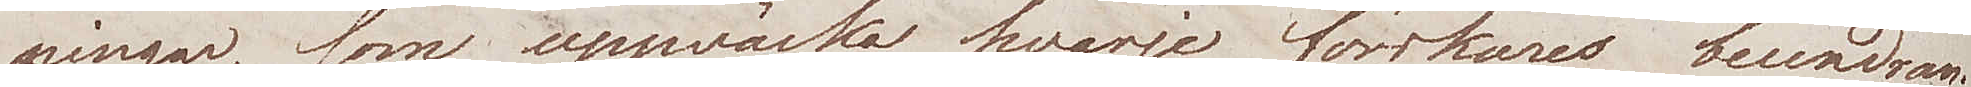ningar, som uppwäcka hvarje forskares beundran.
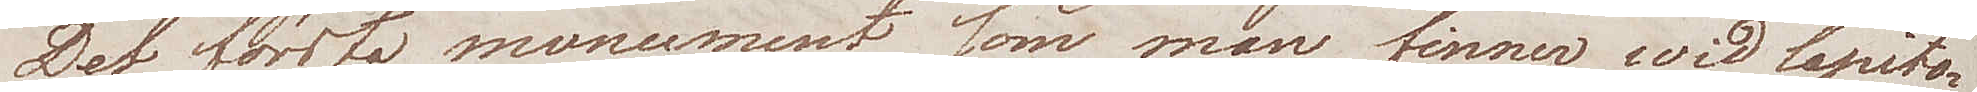Det första monument som man finner wid Capito¬
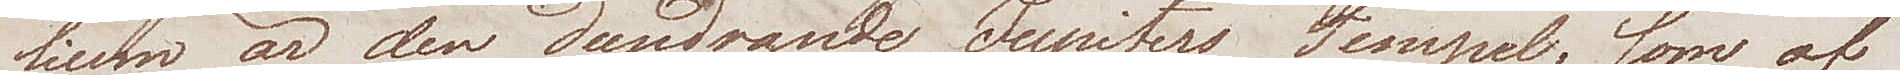lium är den Dundrande Jupiters Tempel, som af
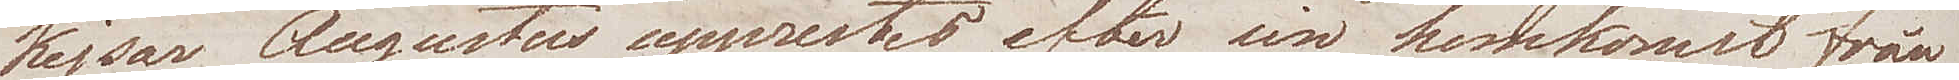Kejsar Augustus upprestes efter sin hemkomst från
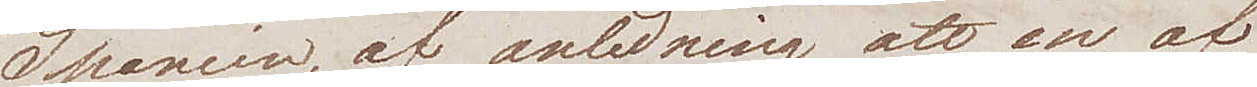Spanien, af anledning att en af
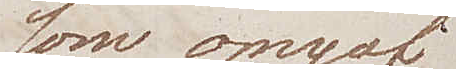som omgaf
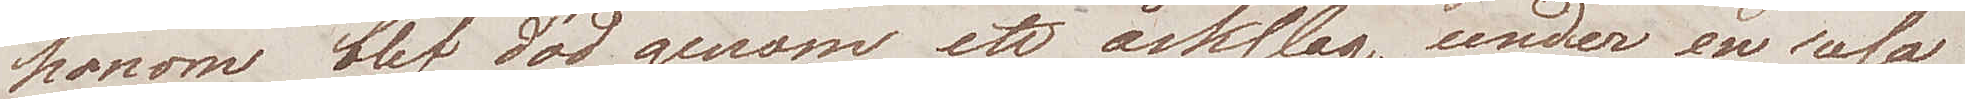honom blef död genom ett åskslag, under en resa
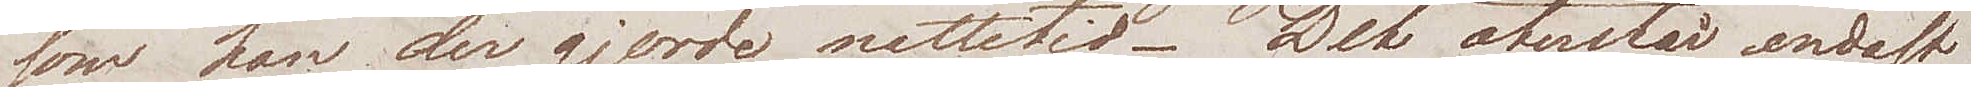som han der gjorde nattetid. Det återstår endast
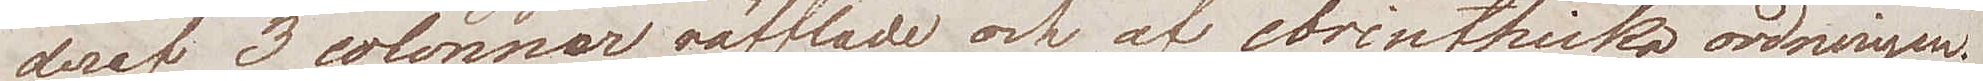deraf 3 colonner räfflade och af corinthiska ordningen.
